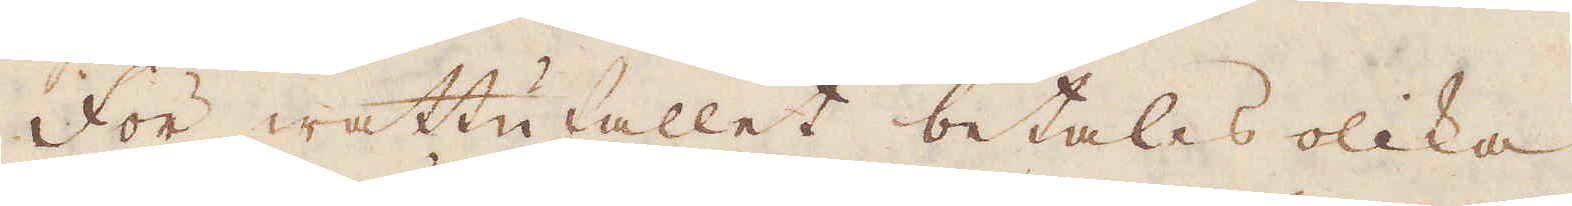För wattufallet betales olika
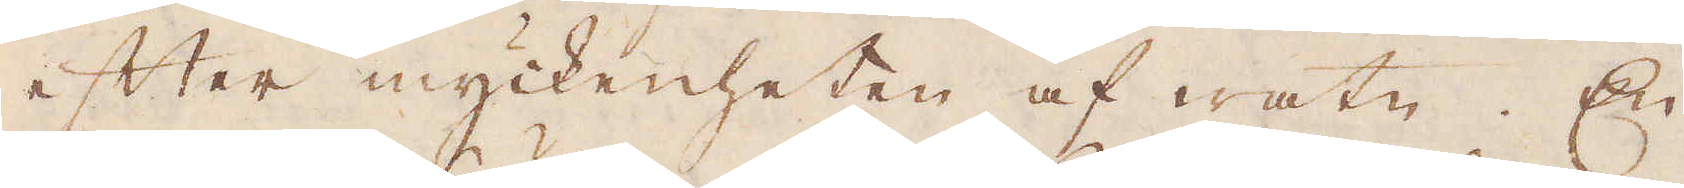efter myckenheten af watn. En
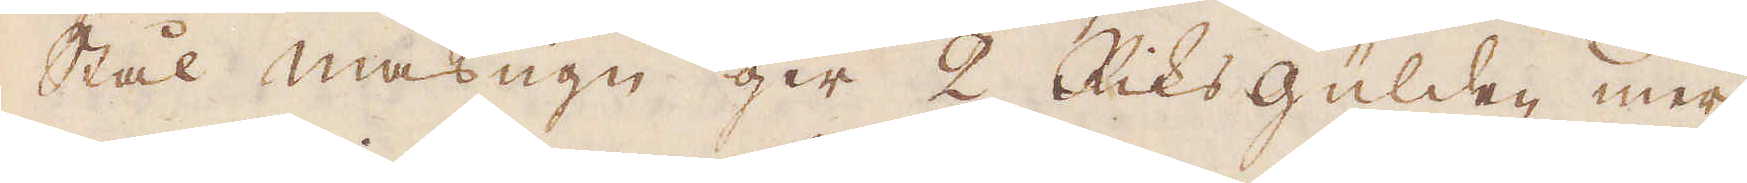Stål masugn ger 2 Riks Gülden mer
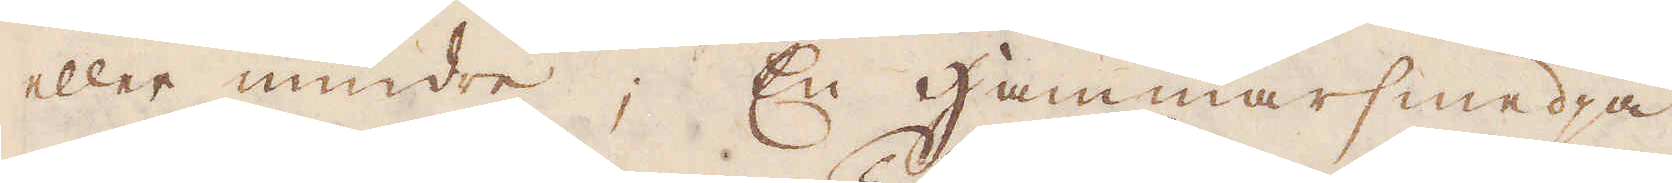eller mindre; En Hammarsmedja
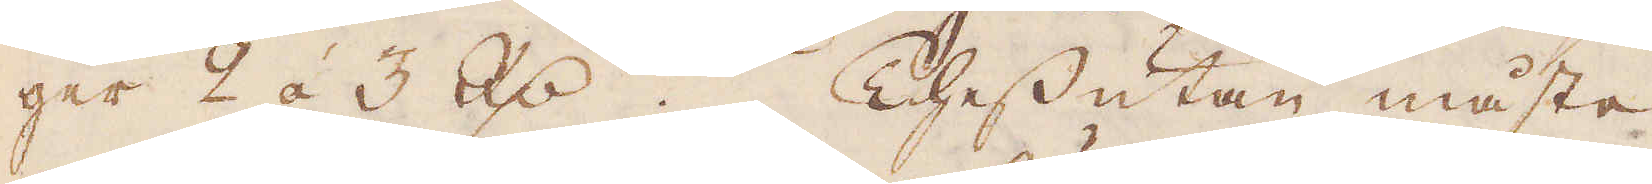ger 2 á 3 R:dr. Thessutan måste
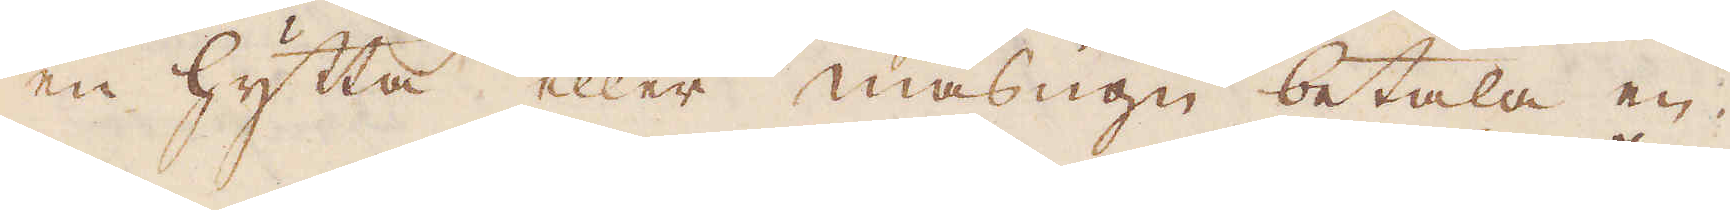en hytta eller masugn betala en
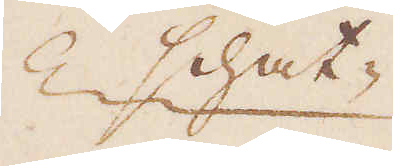schat-
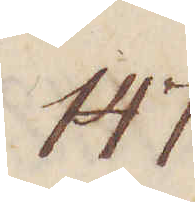147.
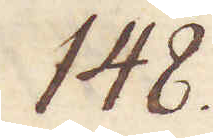148.
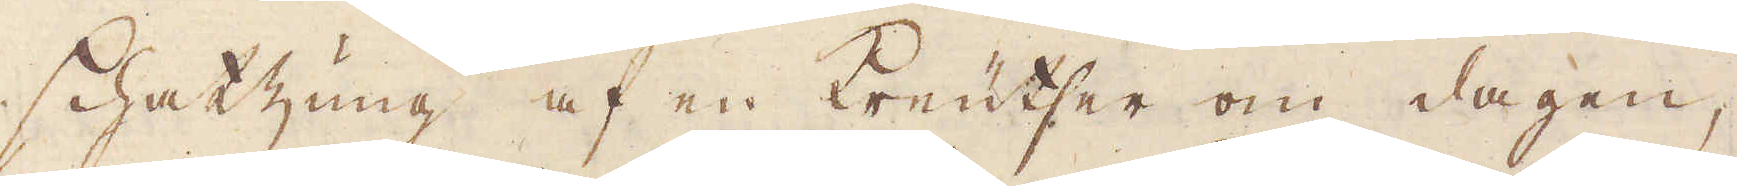Schatzung af en Kreutser om dagen,
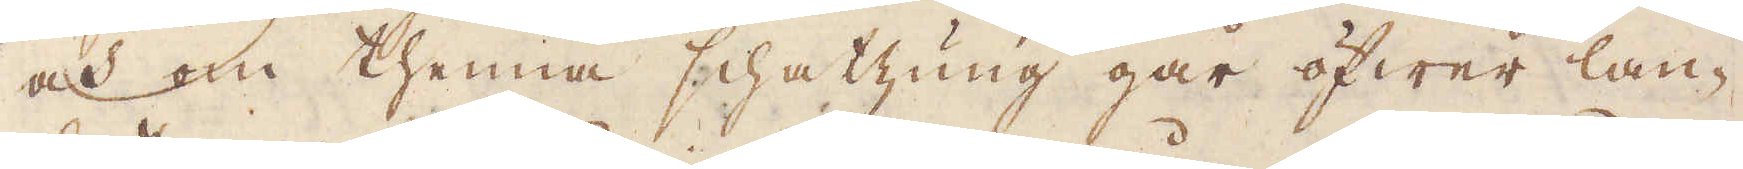och om thenna schatzung går öfwer lan-
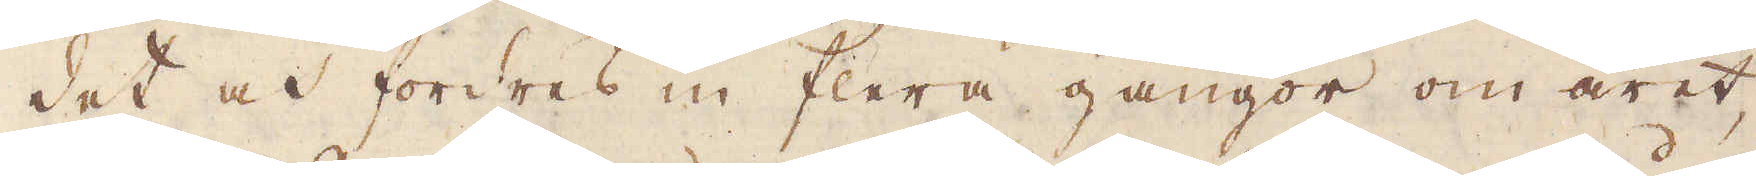det och fordres in flera gångor om året,
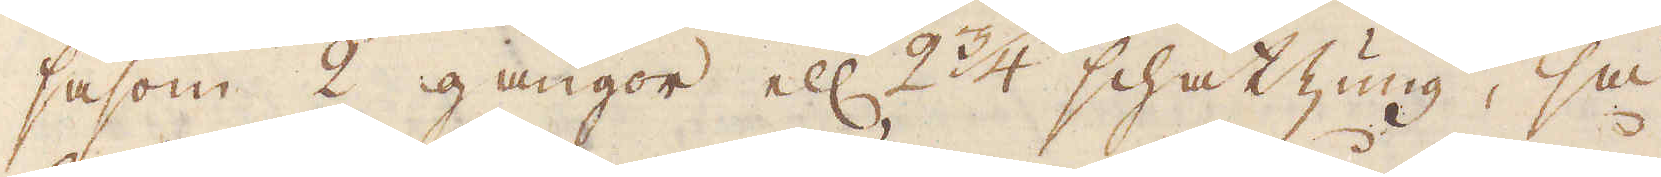såsom 2 gångor ell: 2 3/4 schatzung, så
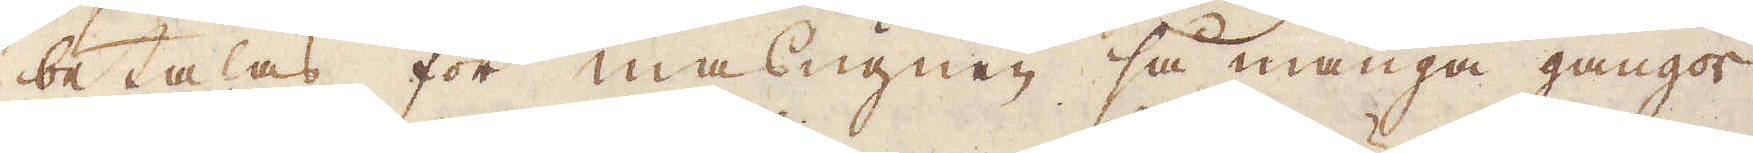betalas för masugnen så många gångor
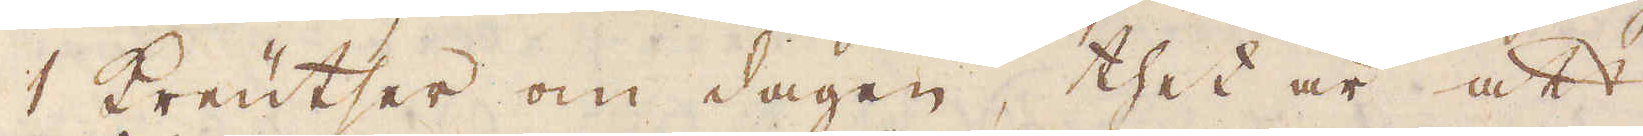1 Kreutser om dagen, thet är att
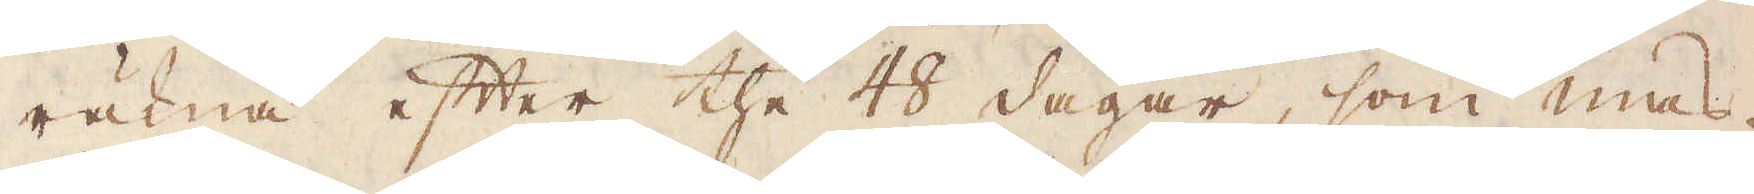räkna efter the 48 dagar, som mas-
